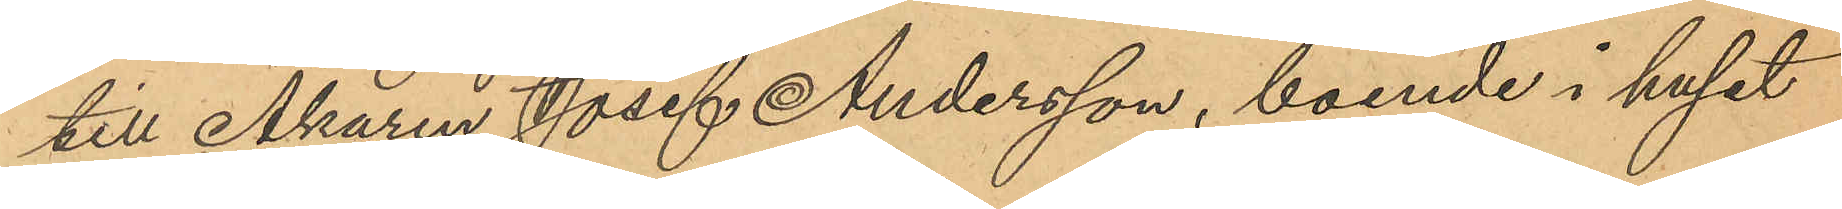till Åkaren Josef Andersson, boende i huset
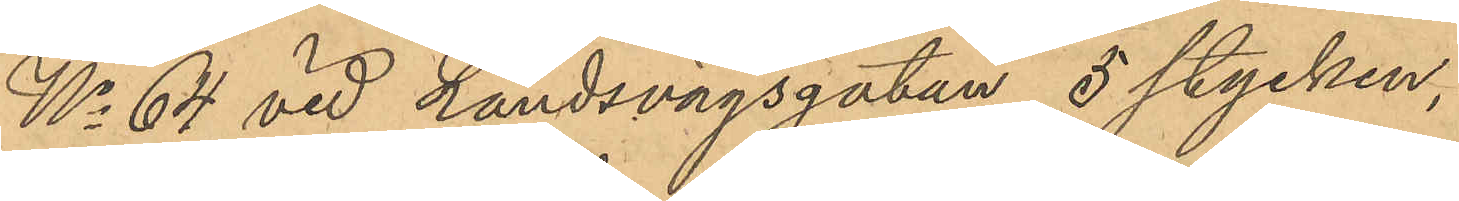No 64 vid Landsvägsgatan 5 stycken,
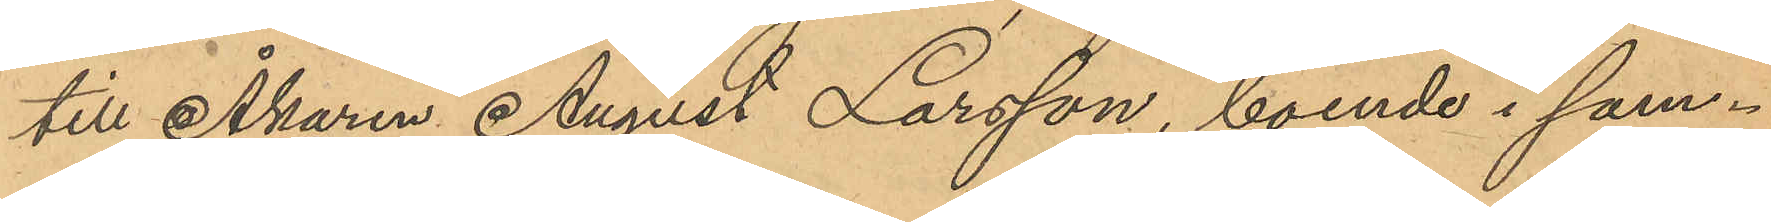till Åkaren August Larsson, boende i sam¬
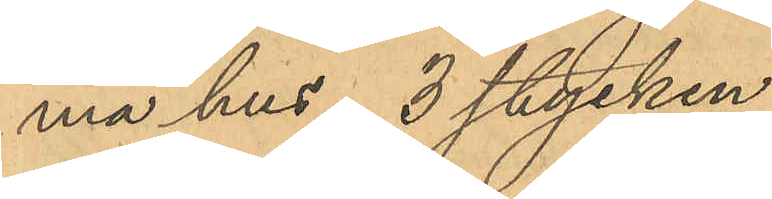ma hus, 3 stycken,
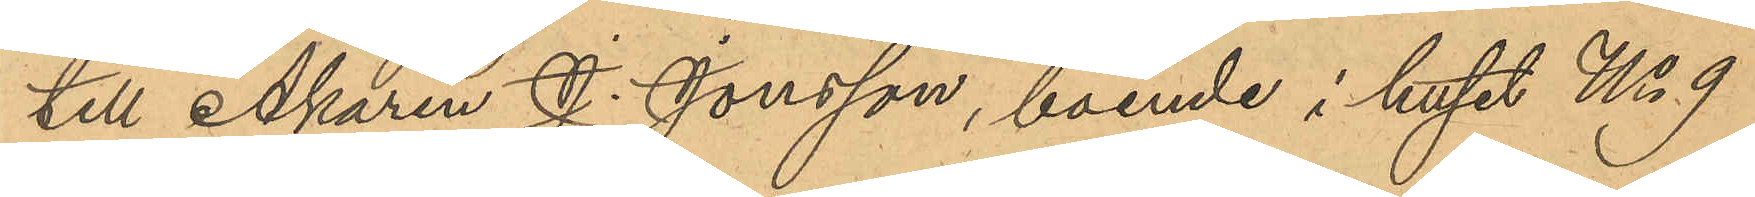till Åkaren J. Jonsson, boende i huset No 9
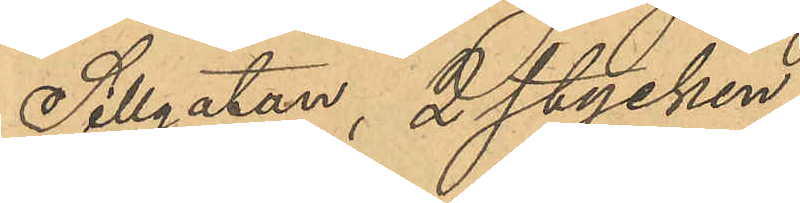Sillgatan, 2 stycken,
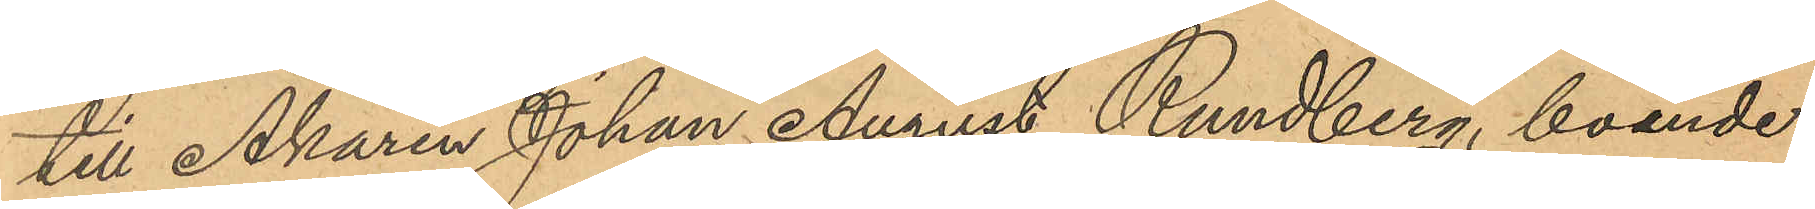till Åkaren Johan August Rundberg, boende
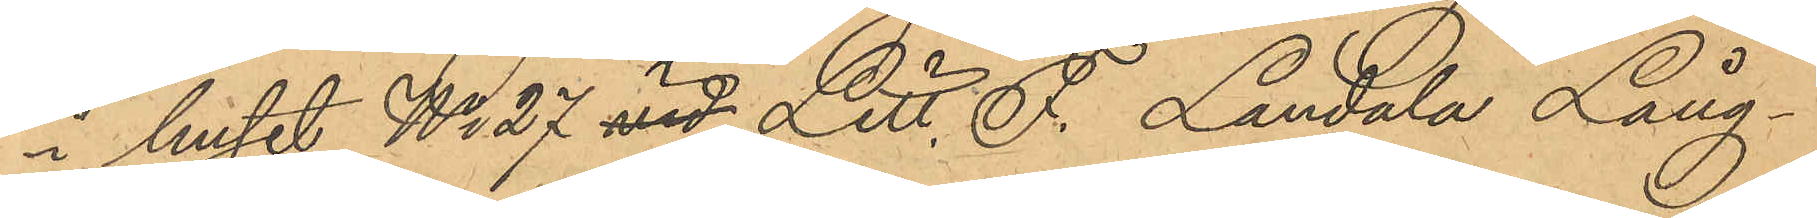i huset No 27 vid Litt. F. Landala Lång¬
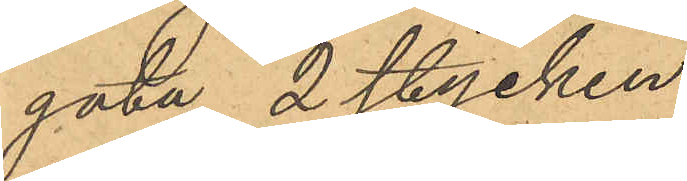gata, 2 stycken,
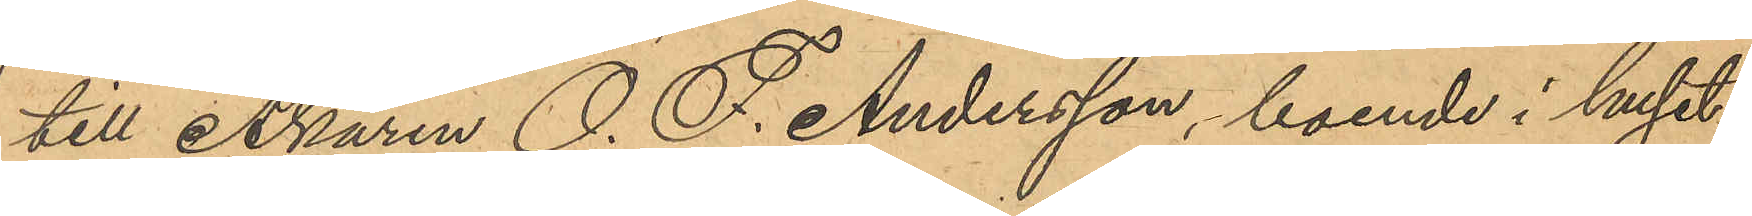till Åkaren O. F. Andersson, boende i huset
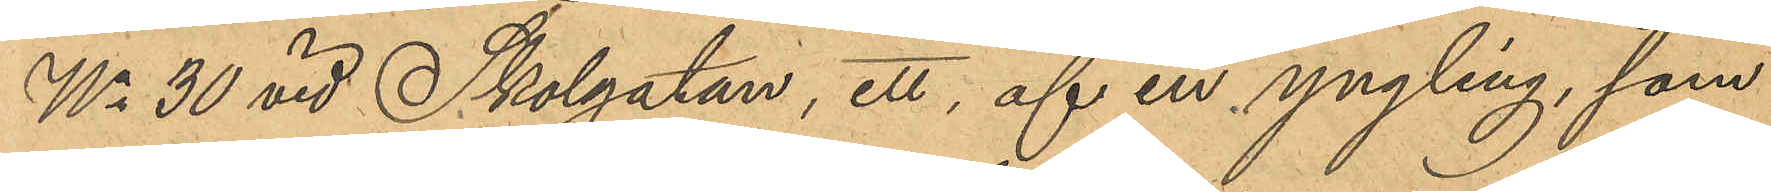No 30 vid Skolgatan, ett, af en yngling, som
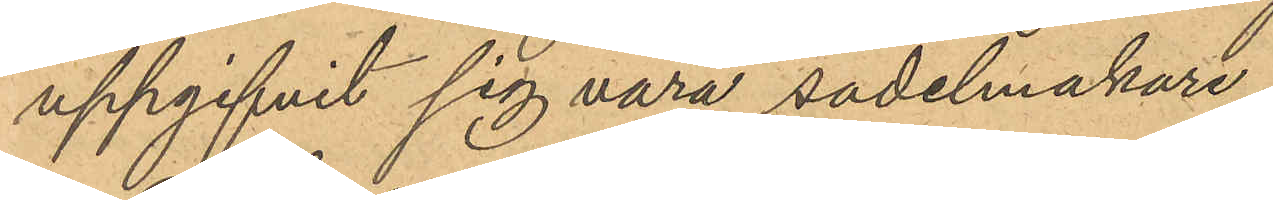uppgifvit sig vara sadelmakare.
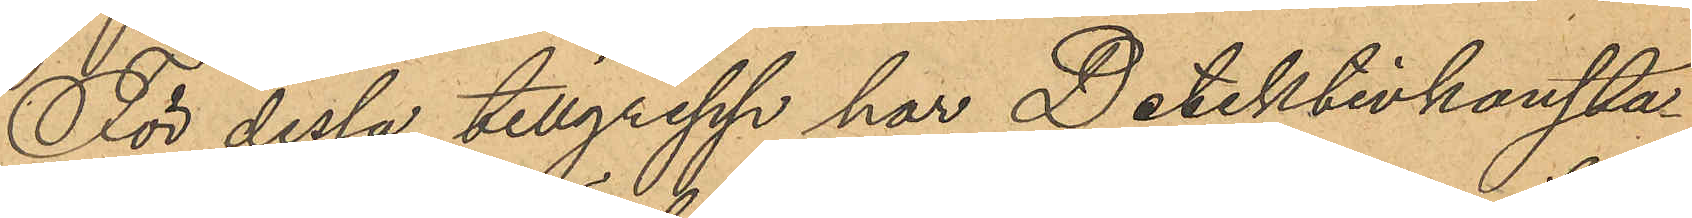För dessa tillgrepp har Detektivkonsta¬
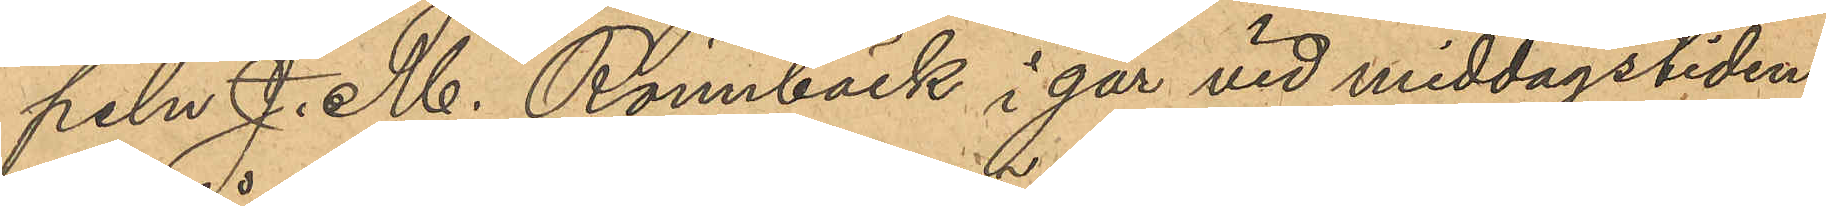peln J. M. Rönnbäck i går vid middagstiden
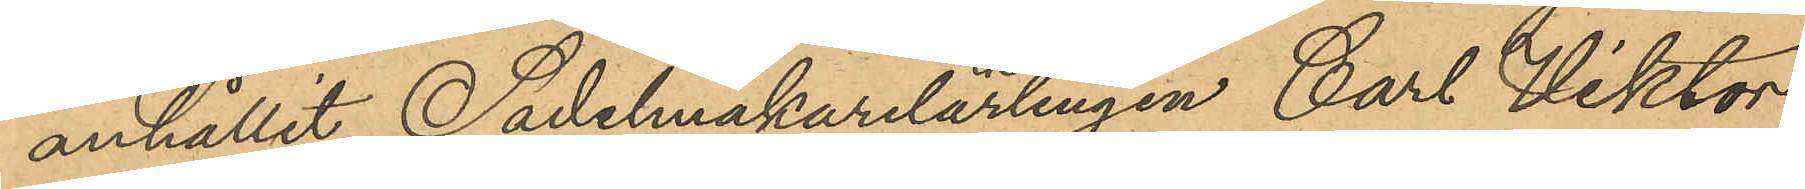anhållit Sadelmakarelärlingen Carl Viktor
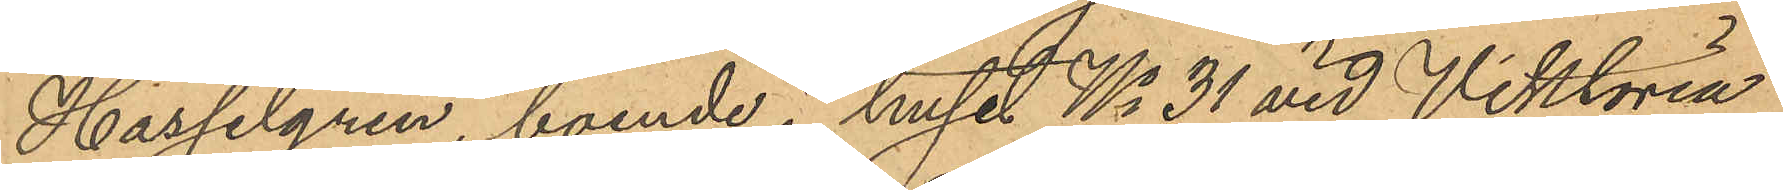Hasselgren, boende i huset No 31 vid Viktoria¬
